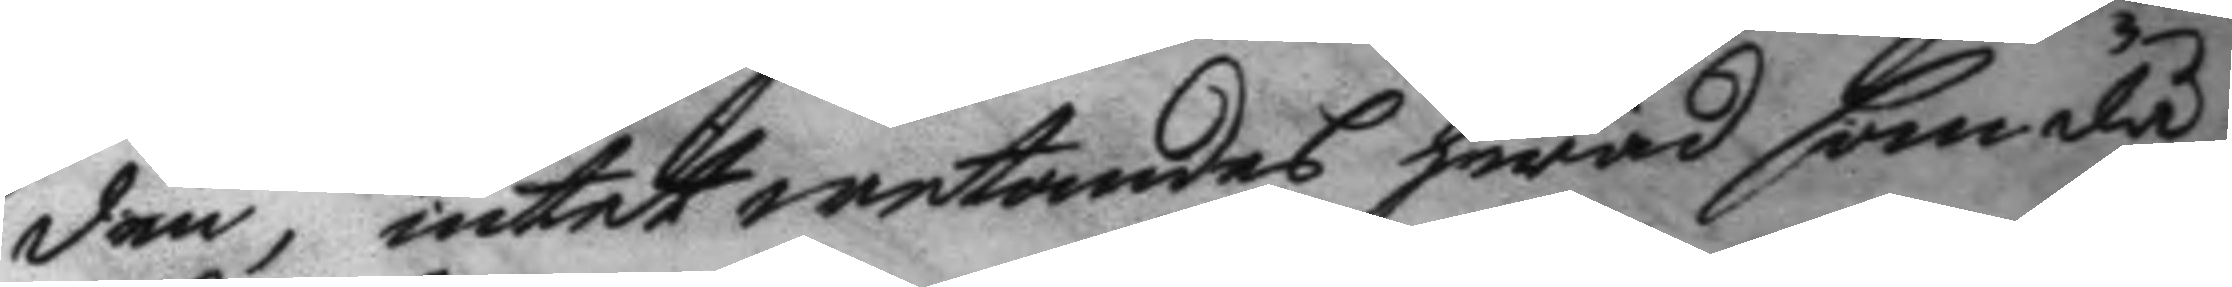den, intet wetandes hwad som då
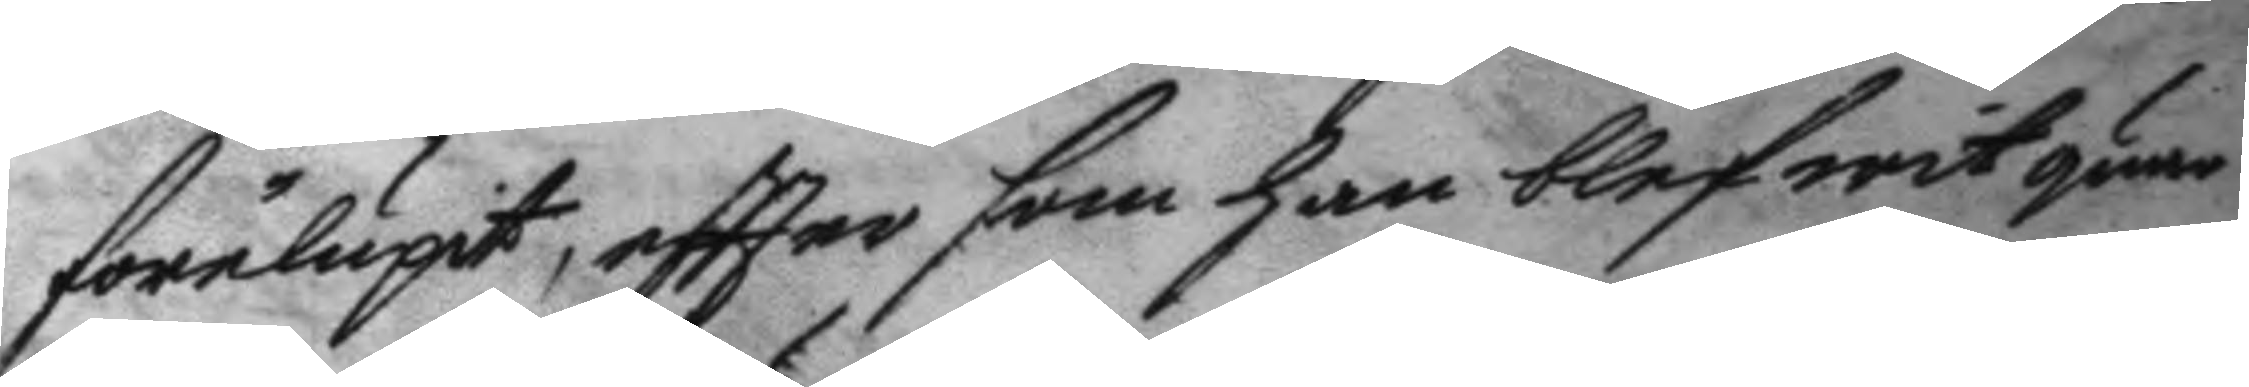förelupit, eftter som han blefwit quar
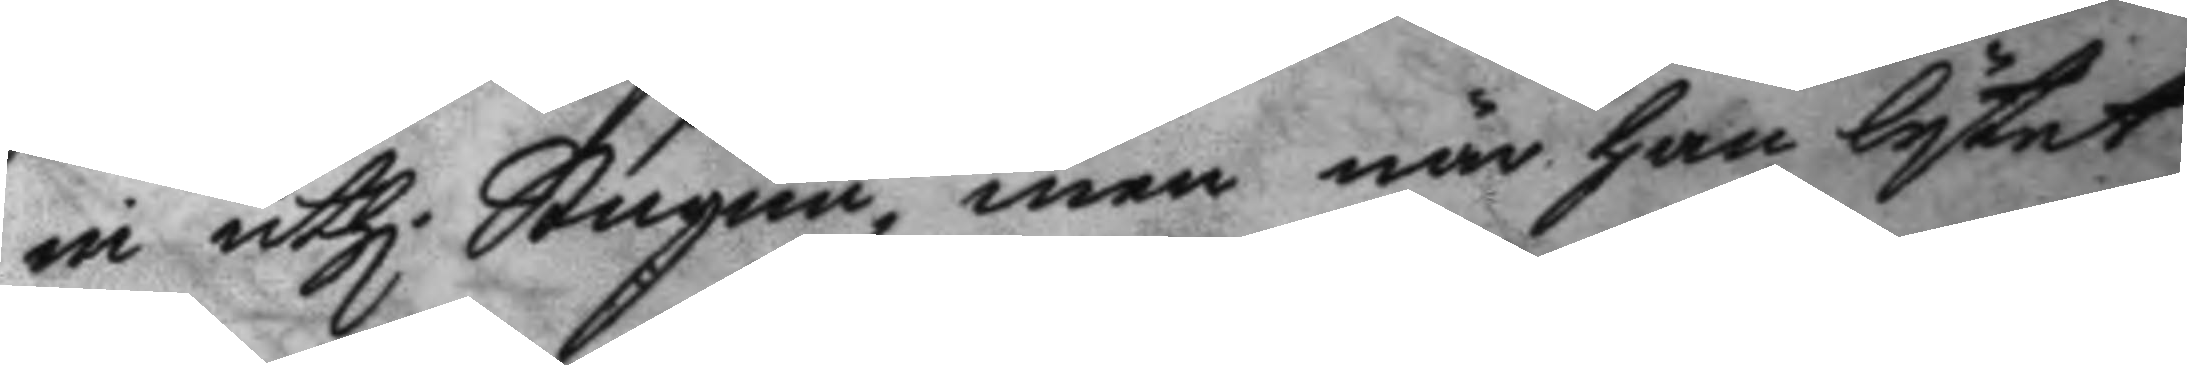in uthi Stugun, men när han lytet
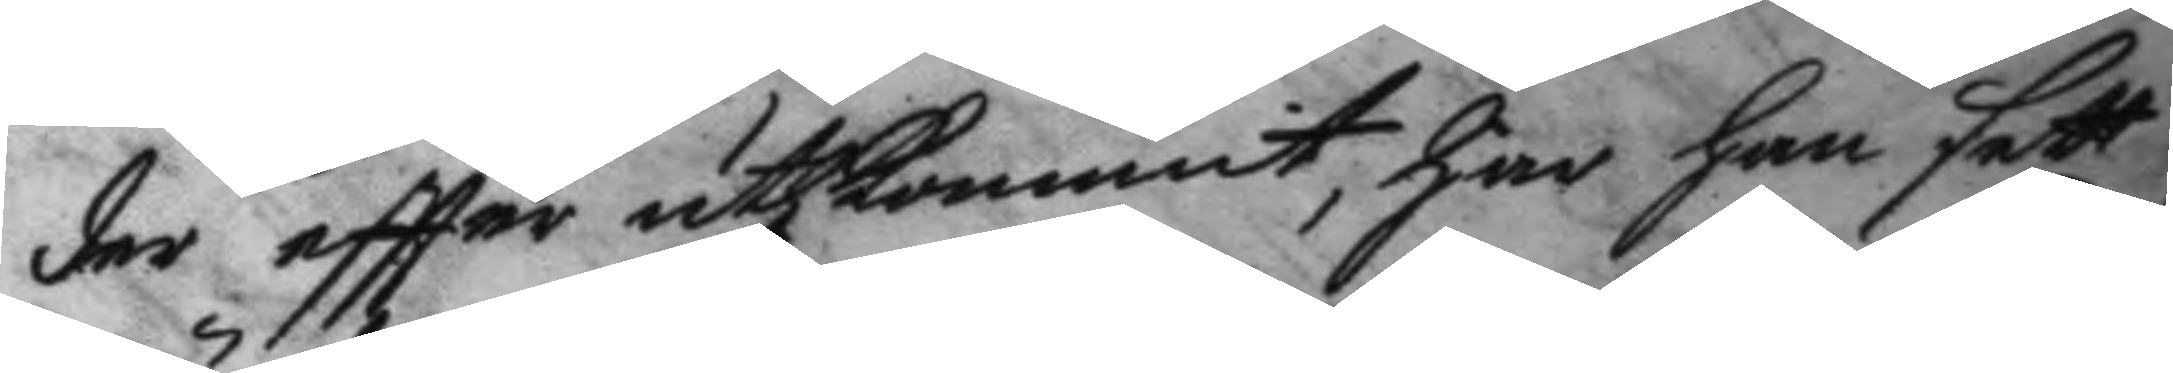der eftter uthkommit, har han sett
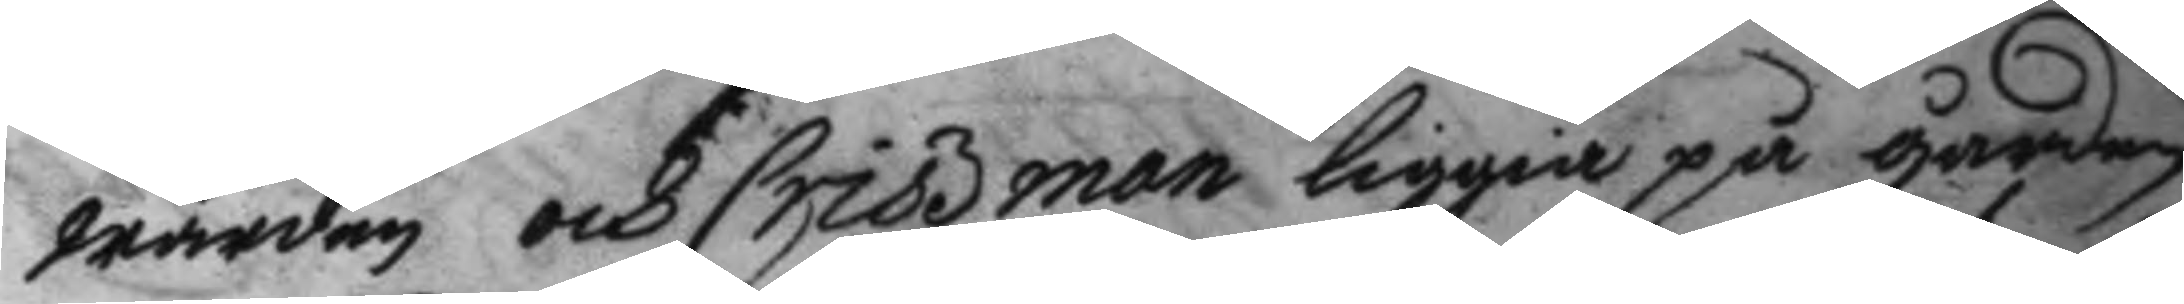wärden och Criszman liggia på gården
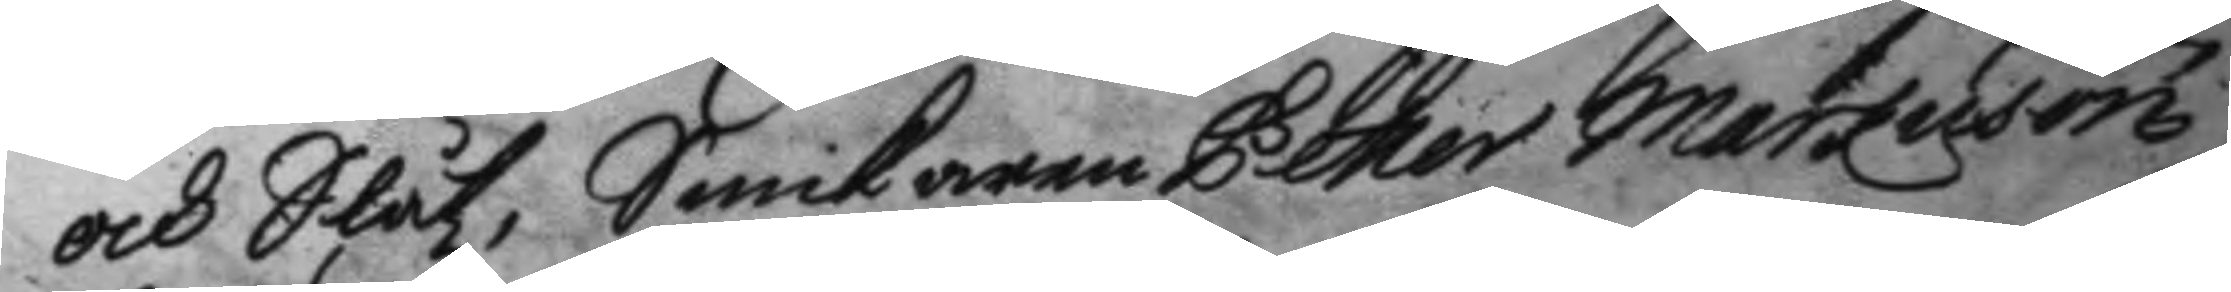och Slåtz, Snickaren Petter Markuson
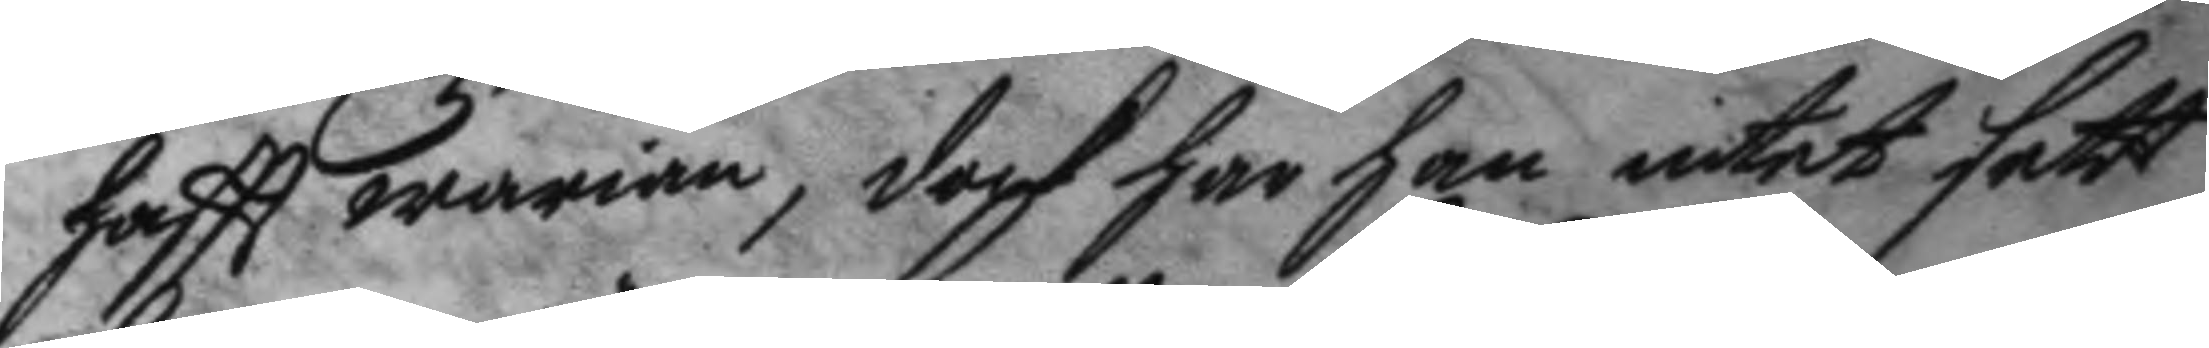haftt warian, doch har han intet sett
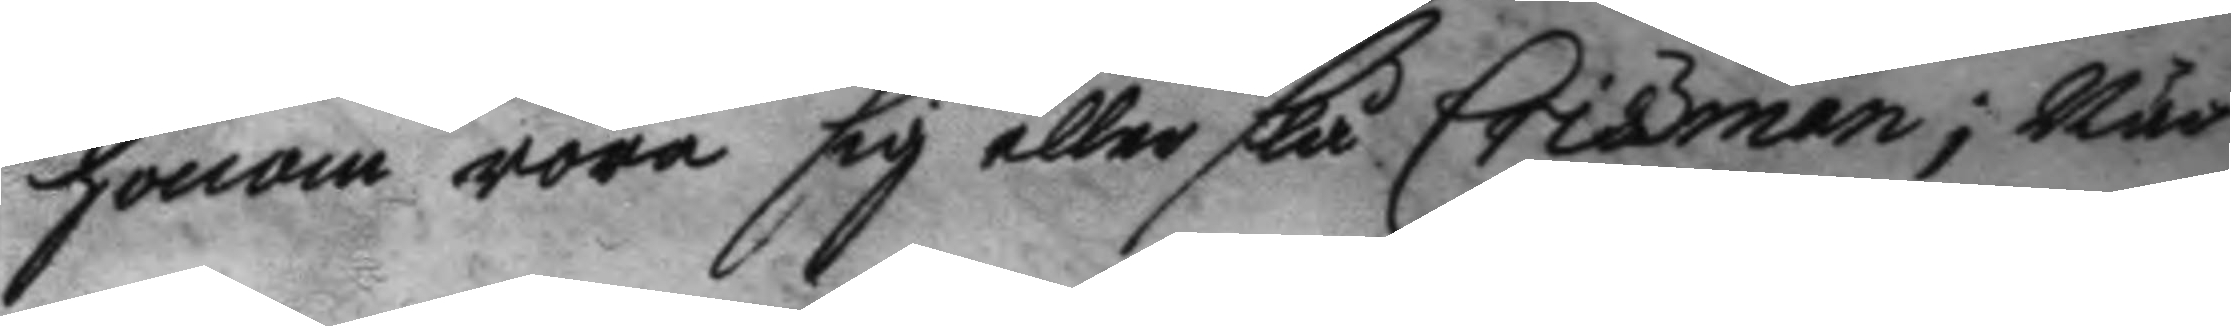honom röra sig eller slå Criszman; när 
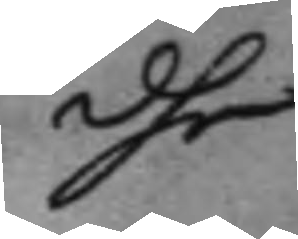dhe
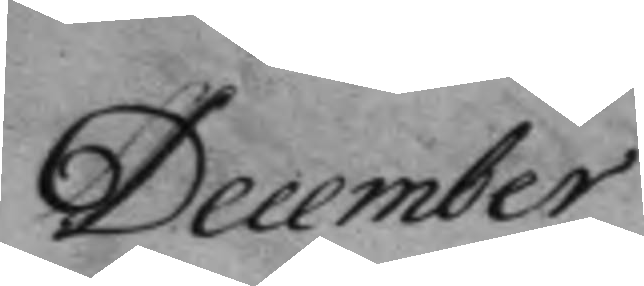December
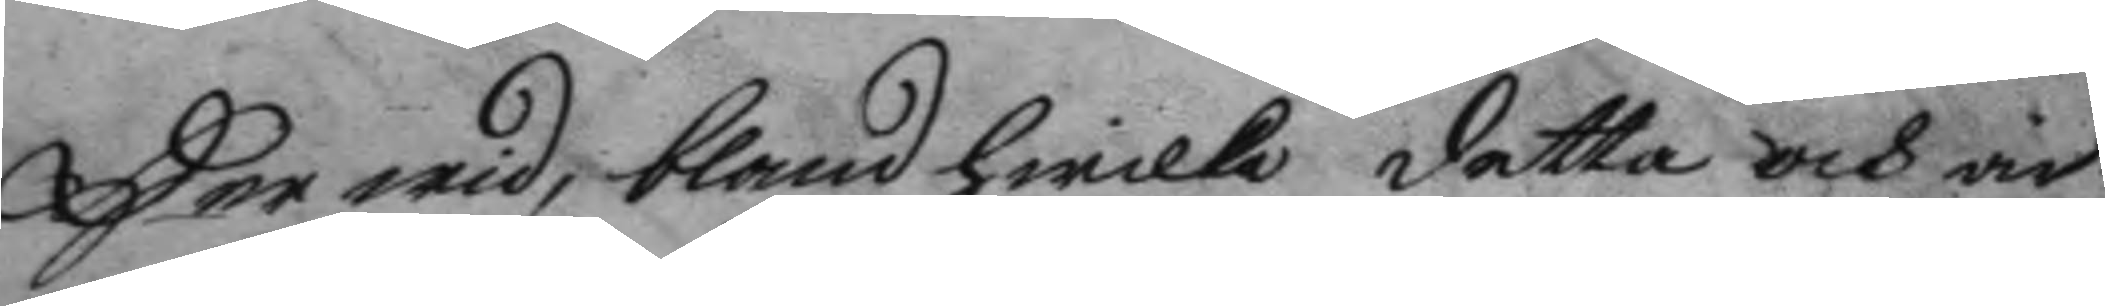Her wid, bland hwilka detta och är
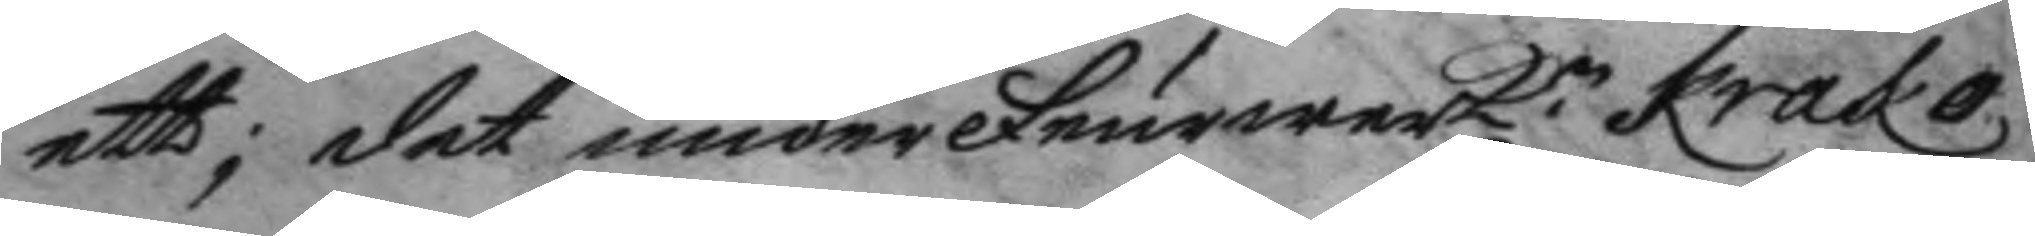ett; det under Feurwerk.n Krako
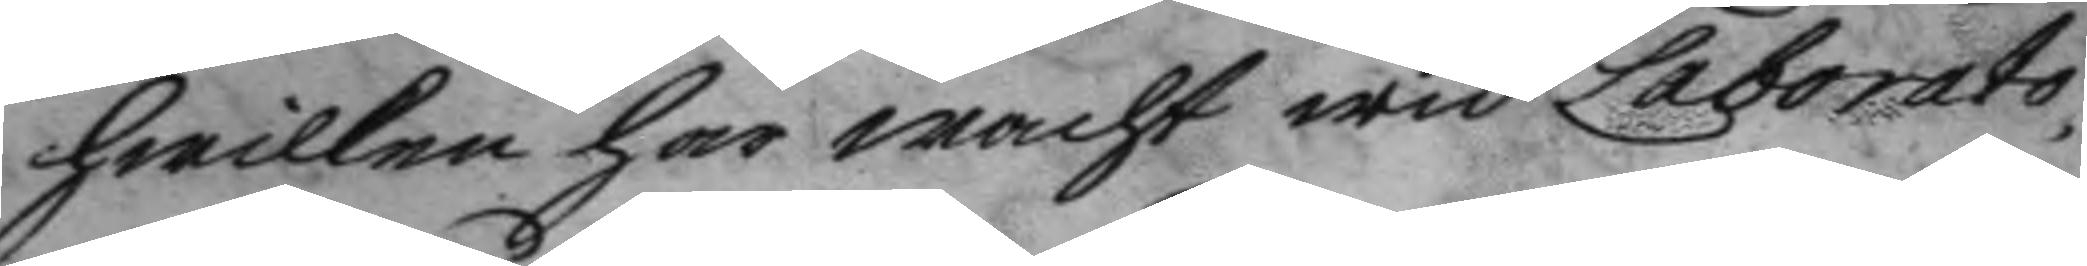hwilken har wacht wid Laborato¬
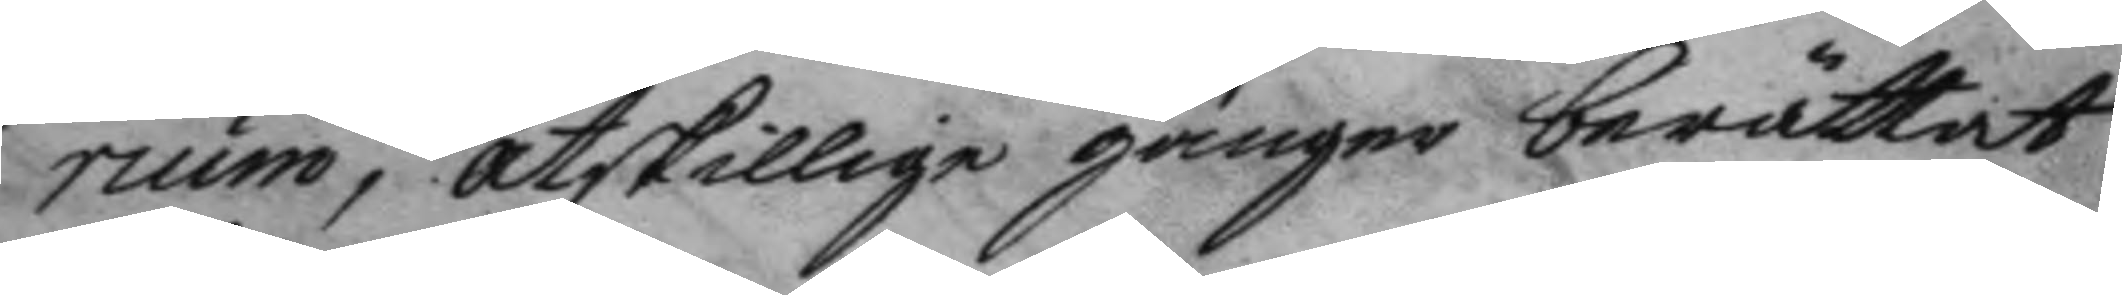rium, åtskillige gånger berättat
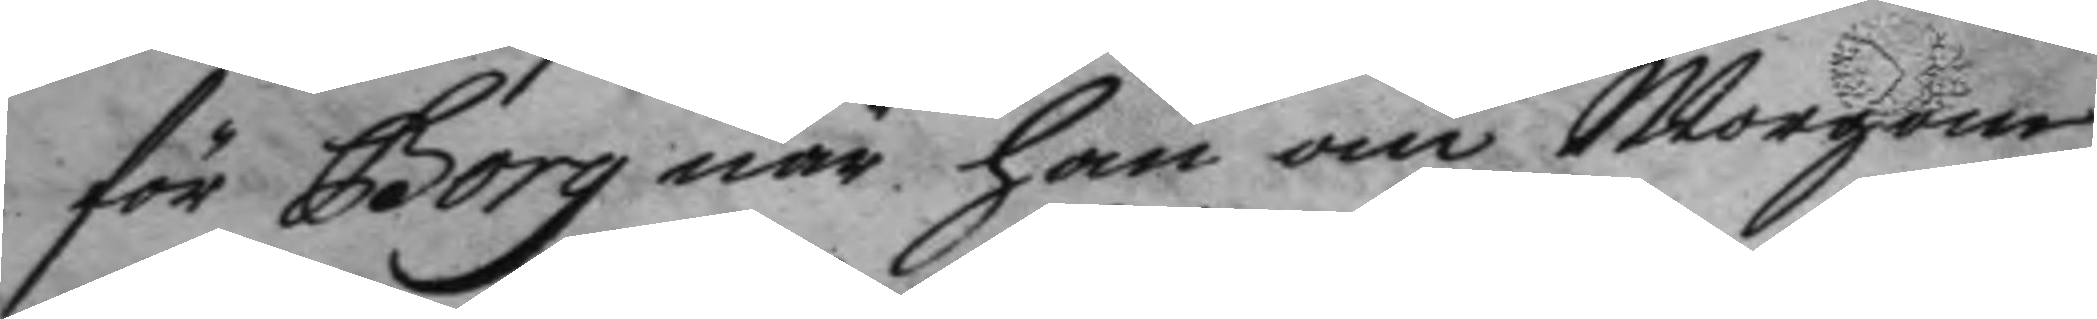för Borg när han om Morgone
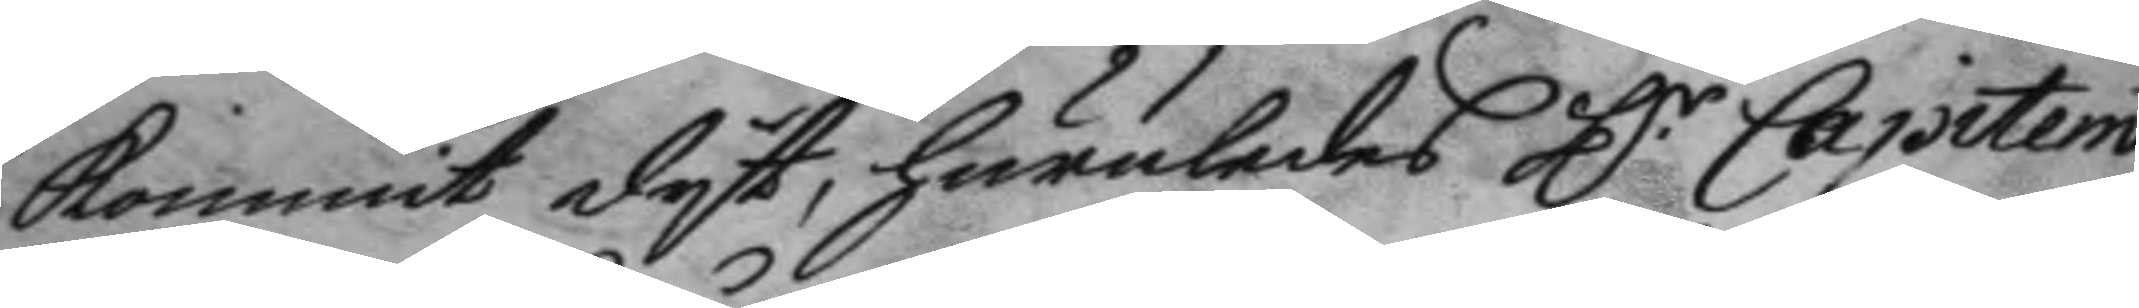kommit dyt, huruledes H.r Capitein
